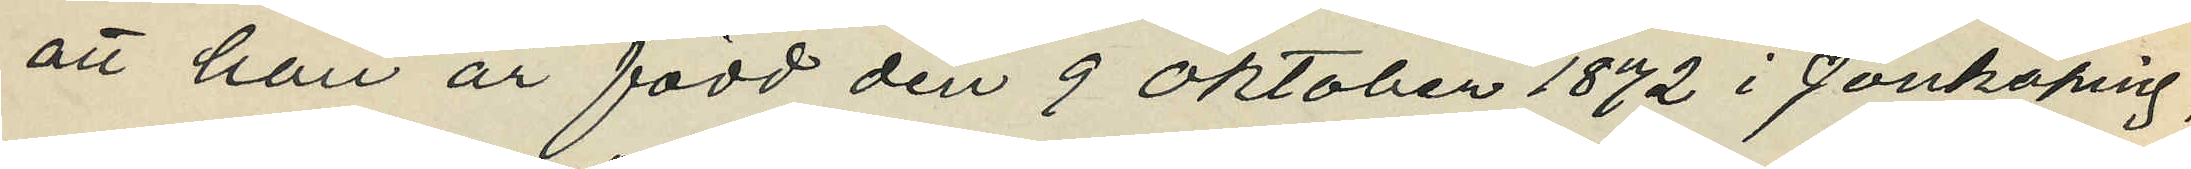att han är född den 9 Oktober 1872 i Jönköping;
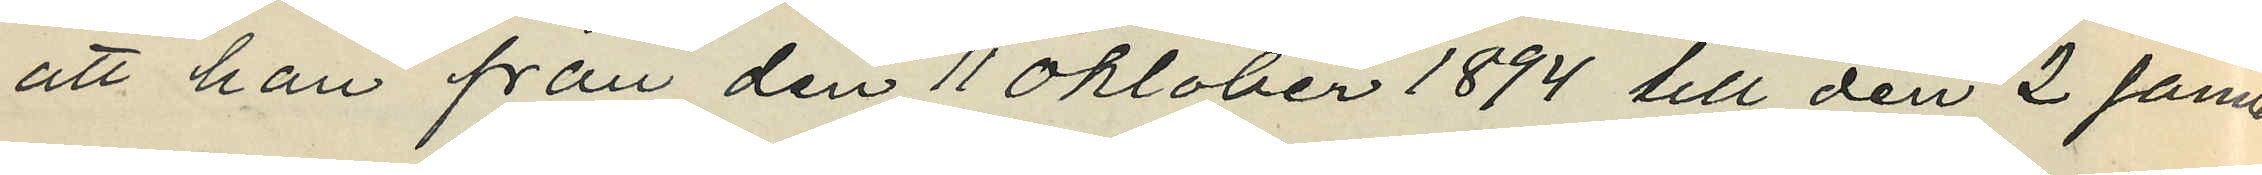att han från den 11 Oktober 1894 till den 2 Januari
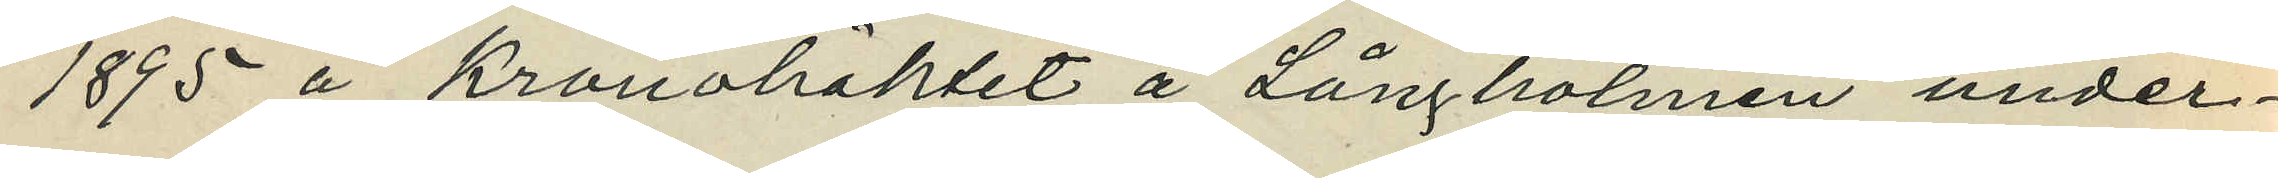1895 å Kronohäktet å Långholmen under¬
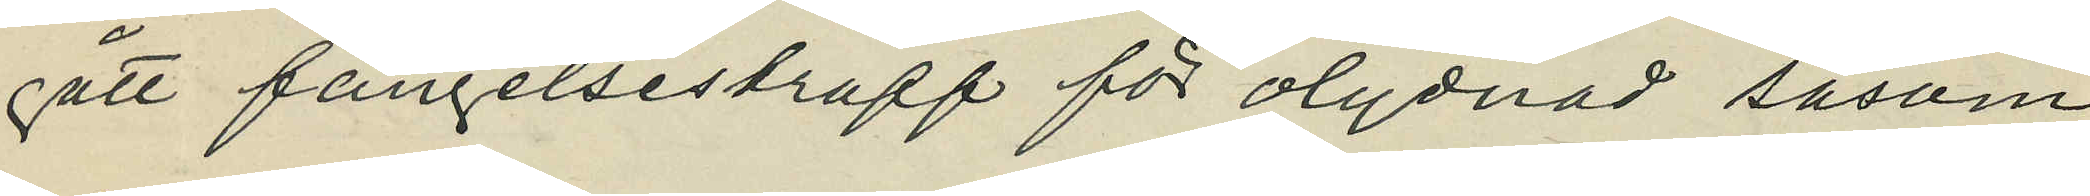gått fängelsestraff för olydnad såsom
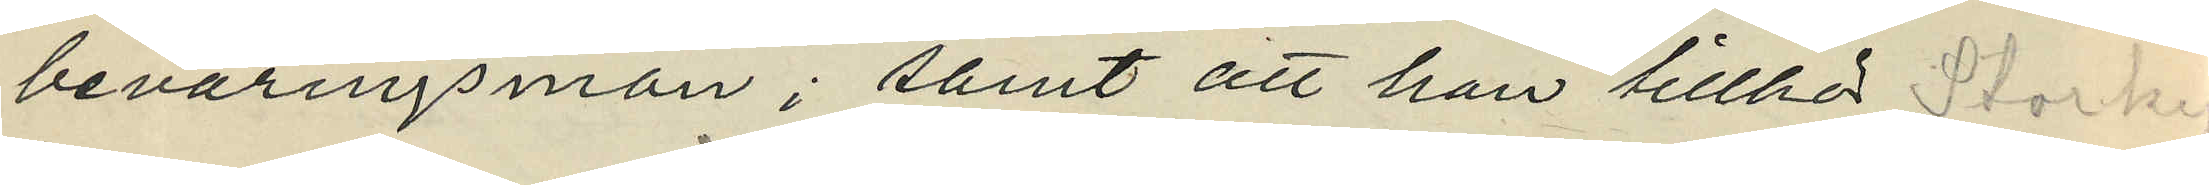beväringsman; samt att han tillhör Storkyr¬
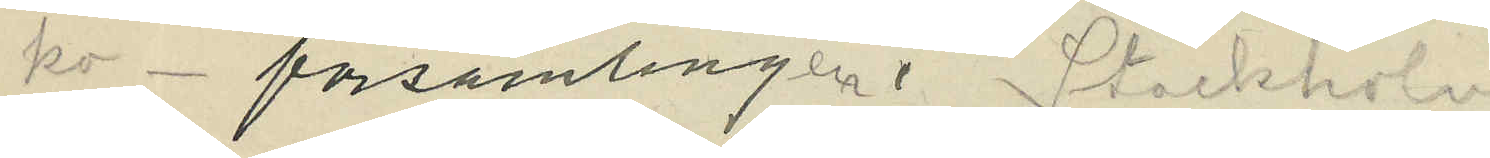ko-församlingen i Stockholm
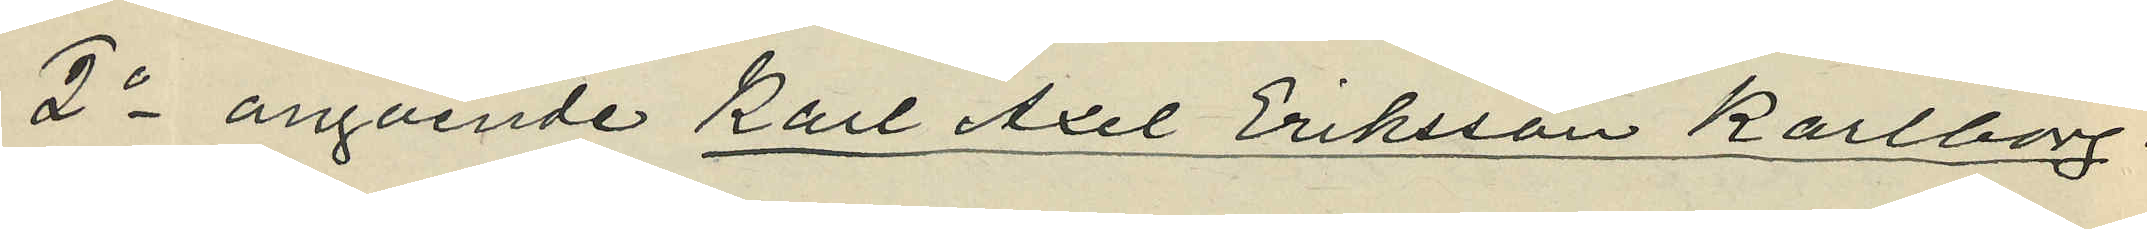2o angående Karl Axel Eriksson Karlborg:
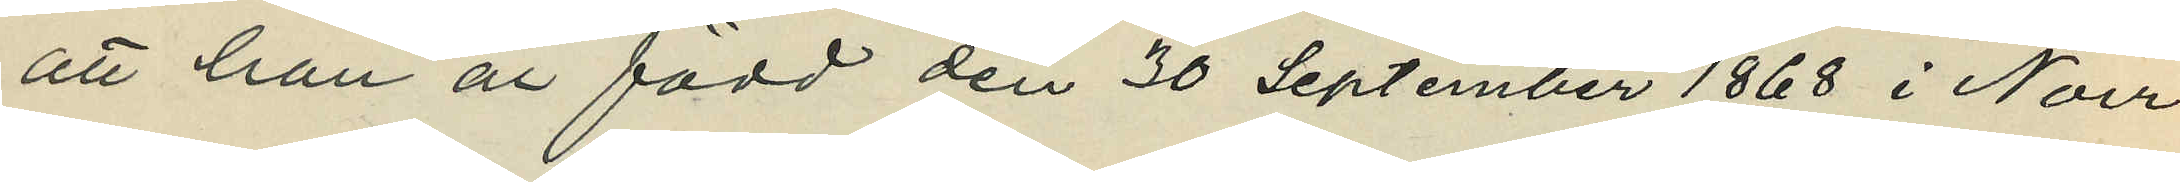att han är född den 30 September 1868 i Norr¬
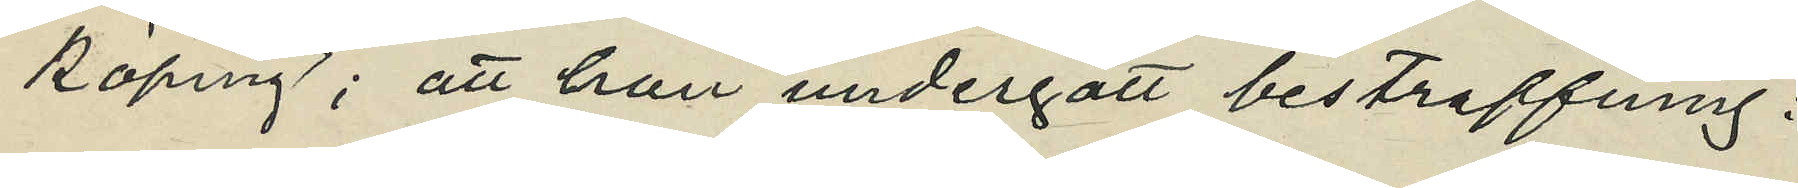köping; att han undergått bestraffning:
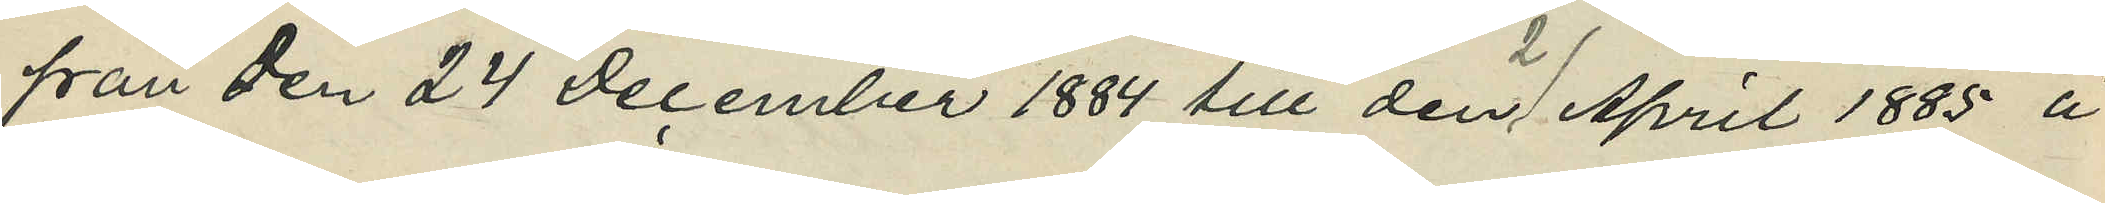från den 24 December 1884 till den 2 April 1885 å
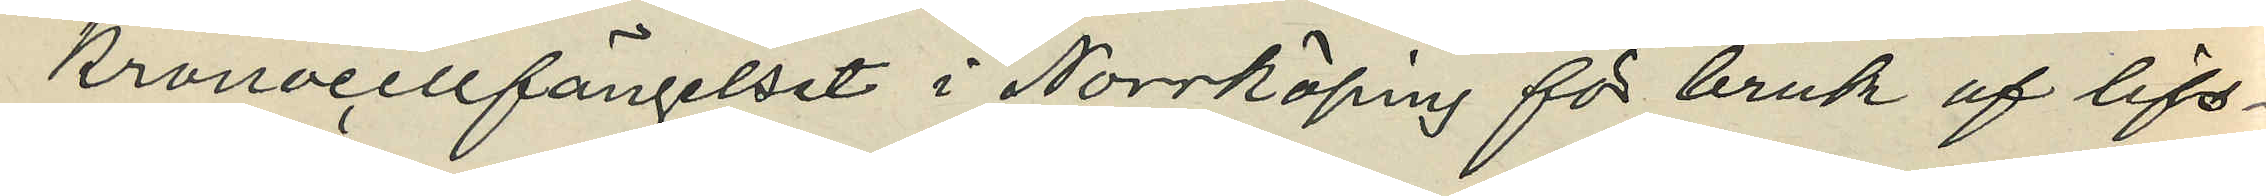kronocellfängelset i Norrköping för bruk af lifs¬
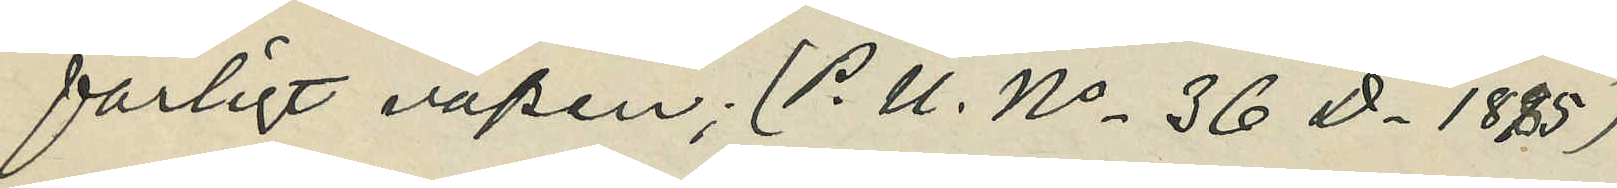farligt vapen; (P. U. No 36 D. 1885)
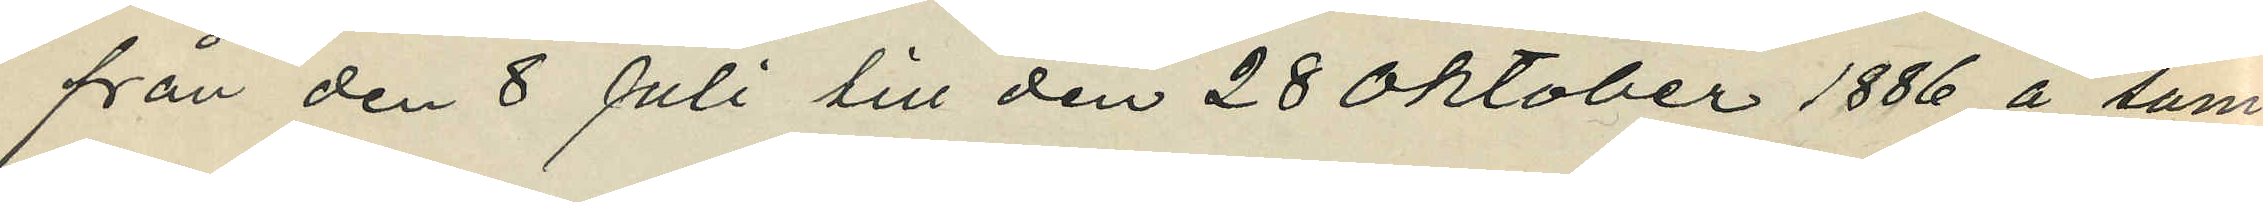från den 8 Juli till den 28 Oktober 1886 å sam¬
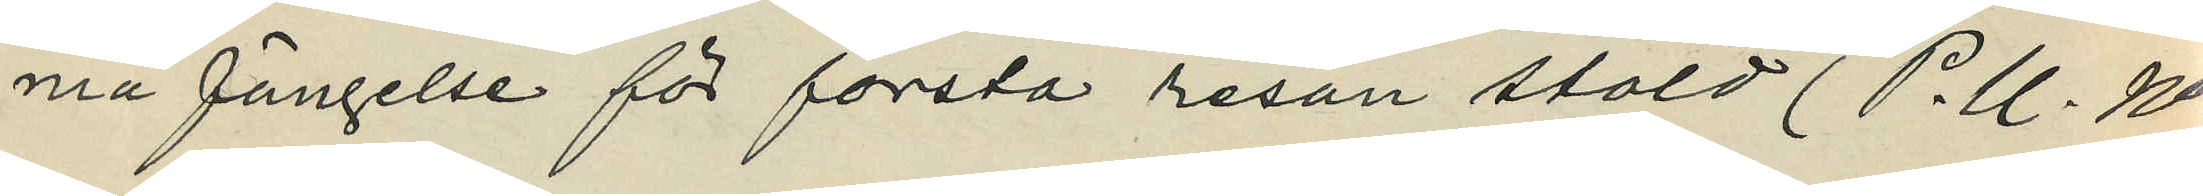ma fängelse för första resan stöld (P. U. No
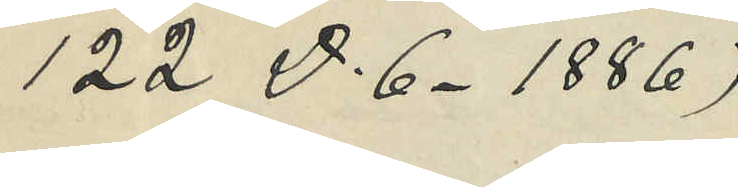122 D. 6. 1886);
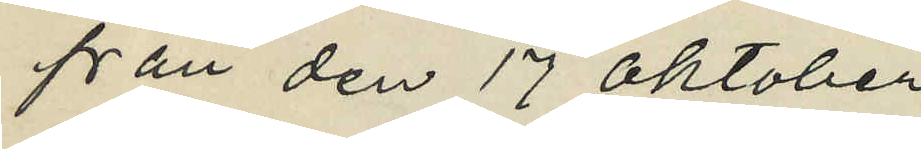från den 17 Oktober
